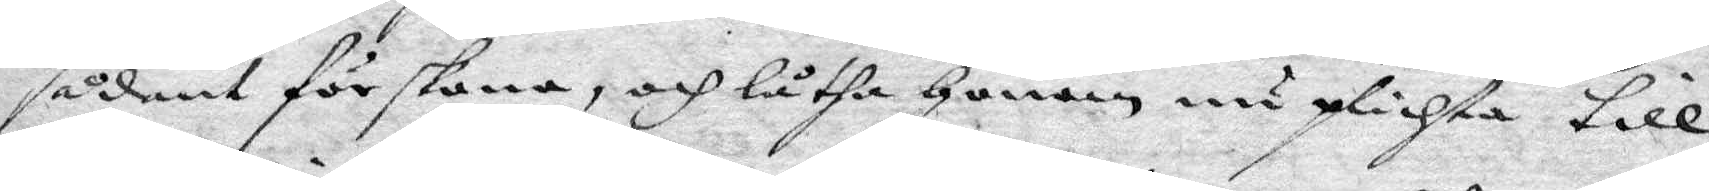sådant förskona, och låtha Honom nu plichta till
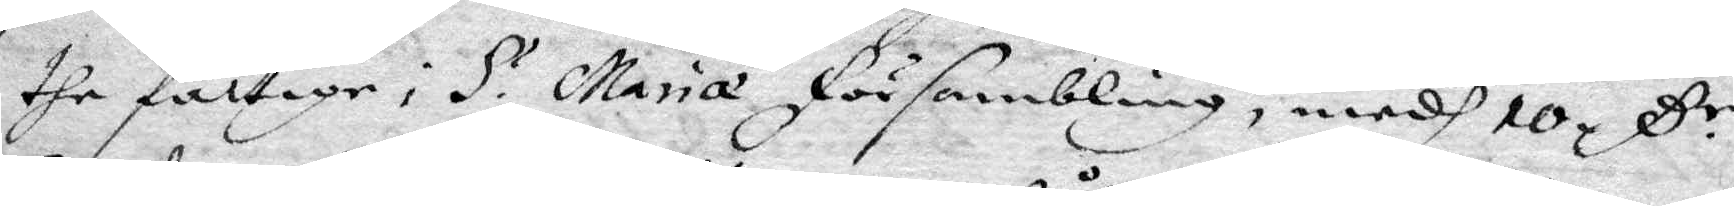the fattige i S. Maria försambling, medh 10 ß.r
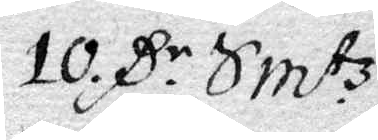10 ß.r Sm.tz
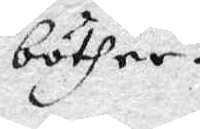böther.
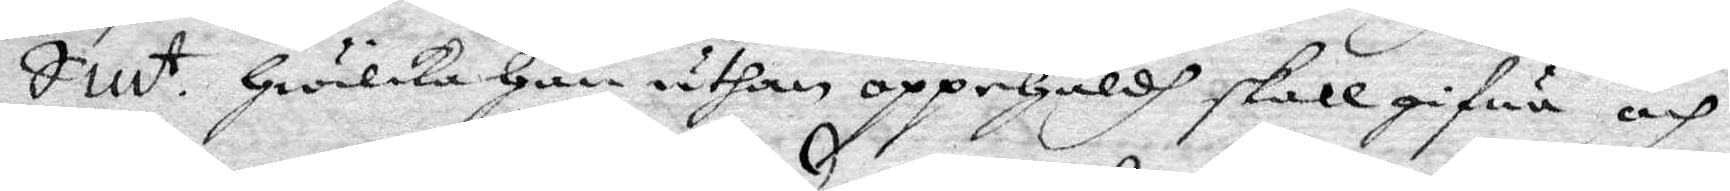Sm.t Hwilka Han uthan oppehåldh skall gifwa och
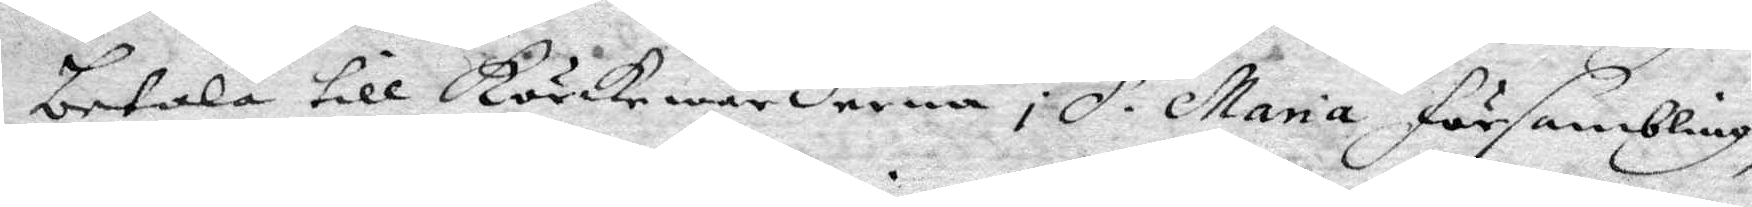betala till kyrkewärderne i S. Maria försambling,
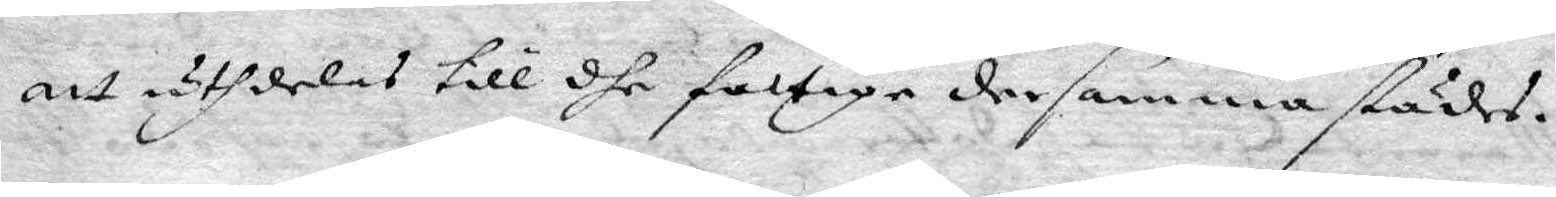att utdelas till dhe fattige dersammastädes.
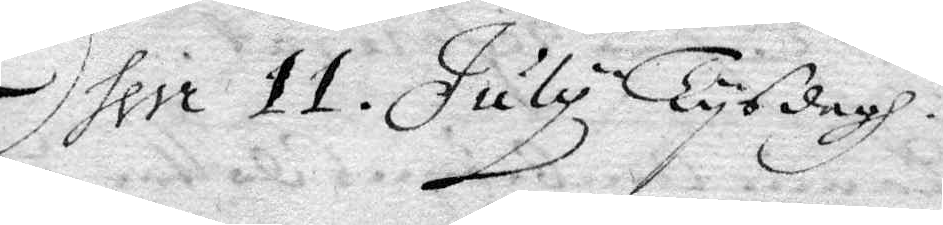Item 11. July Tysdagh.
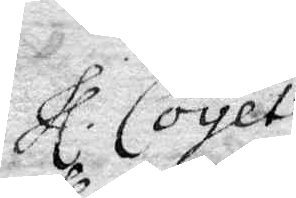Hl. Coyet
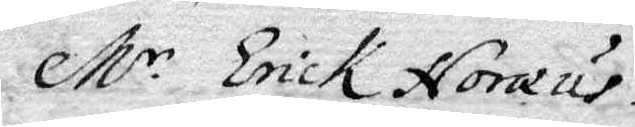M.r Erick Noreus
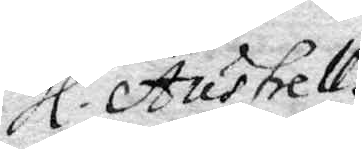Hl. Austrell.
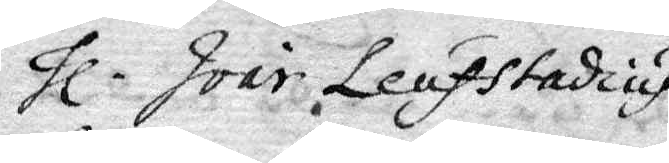Hl. Ivar Leufstadius
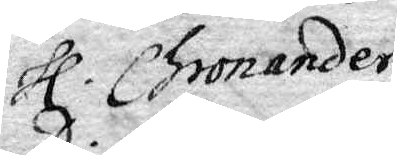Hl. Bromander
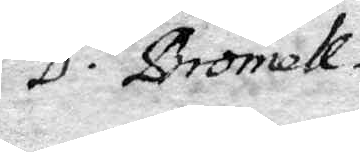D. Bromell.
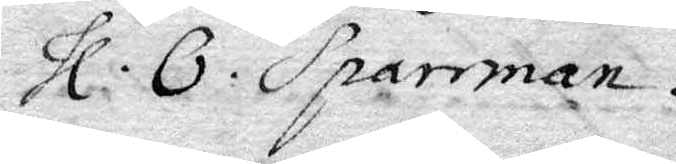Hl. O: Sparrman.
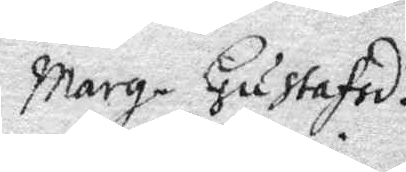Marg. Gustafsd.r
